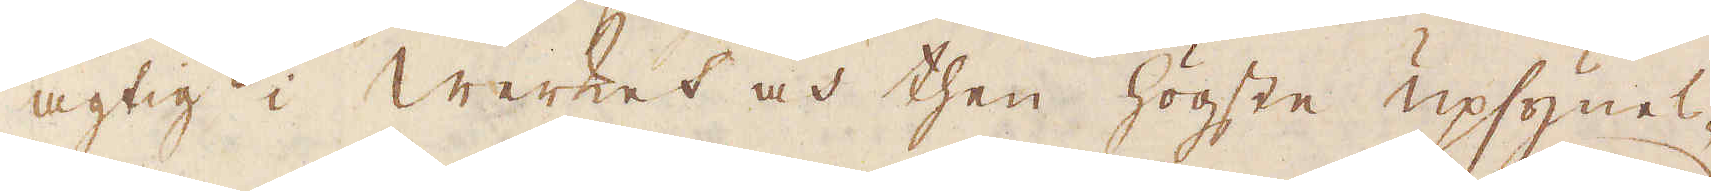agtig i Werket och then högste upsynes-
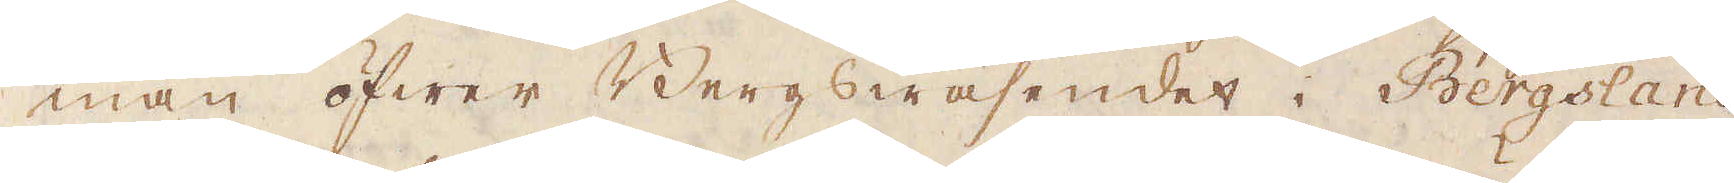man öfwer Bergswäsendet i Bergsland.
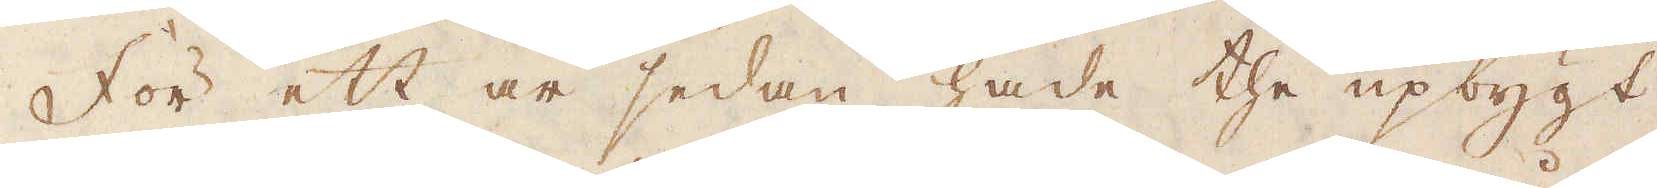För ett år sedan hade the upbygt
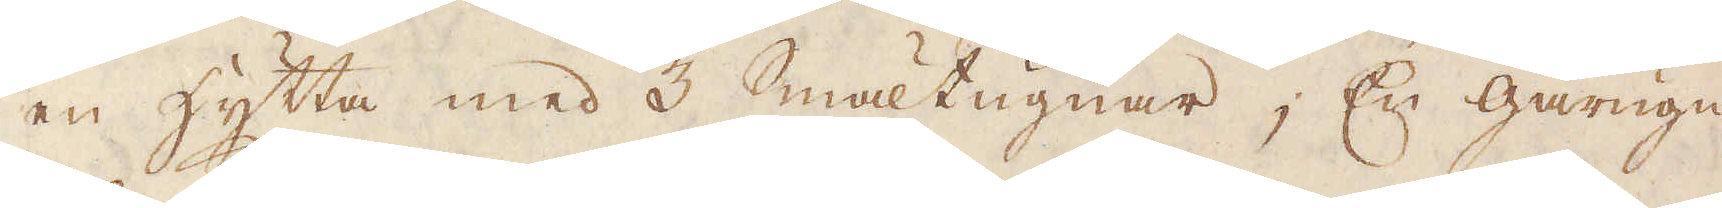en hytta med 3 Smältugnar, En gårugn
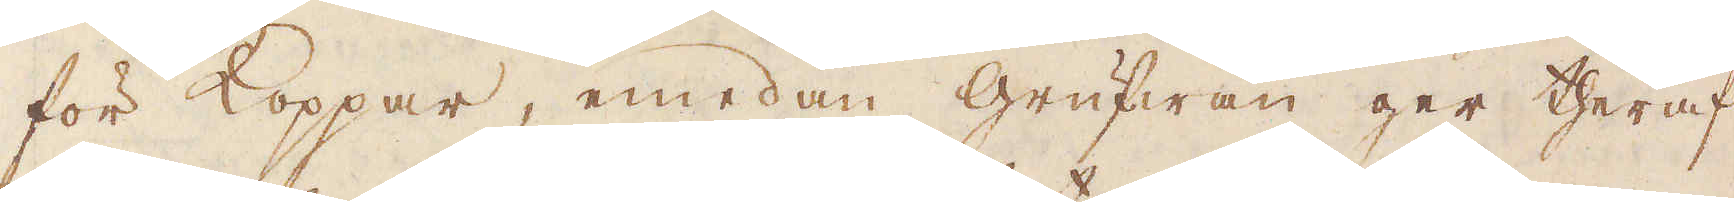för Koppar, emedan grufwan ger theraf
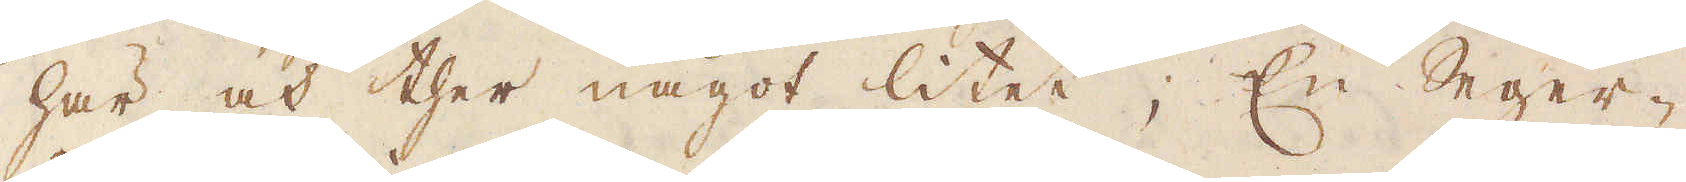här och ther något litet; En Seger-
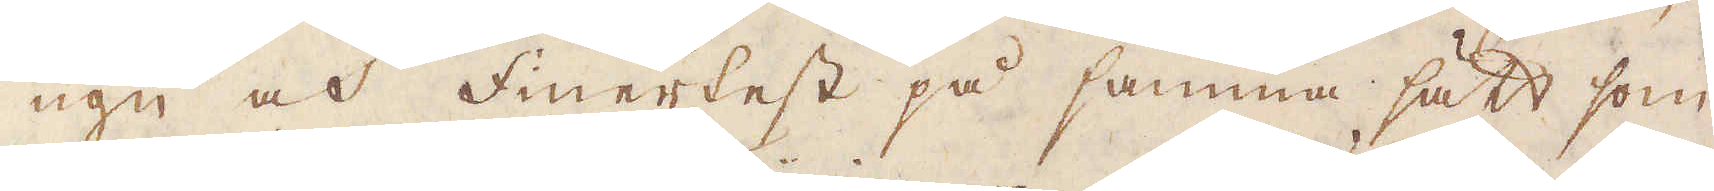ugn och Finerteft på samma sätt som
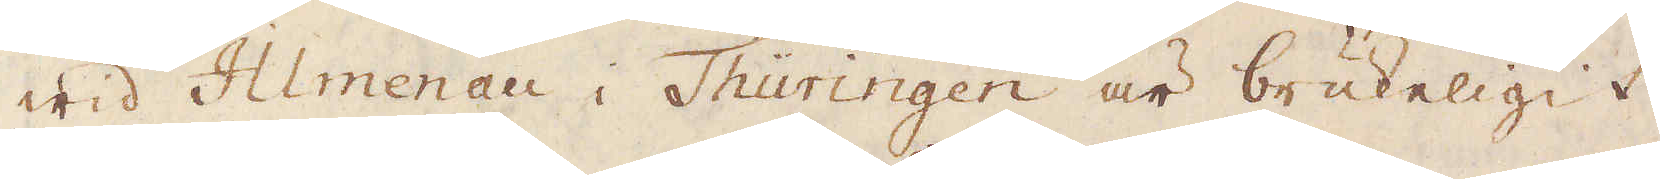wid Almenau i Thuringen är brukeligit,
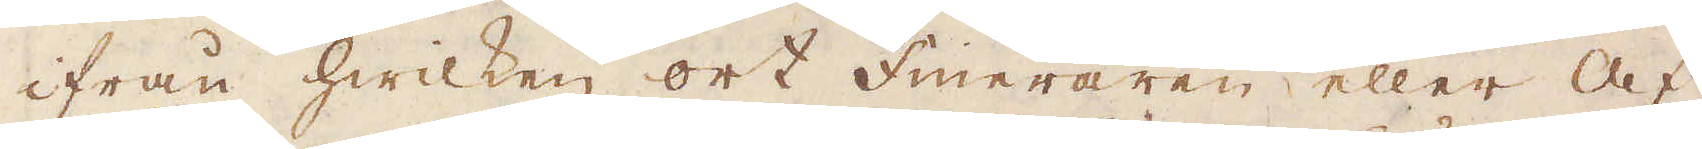ifrån hwilken ort Fineraren eller af
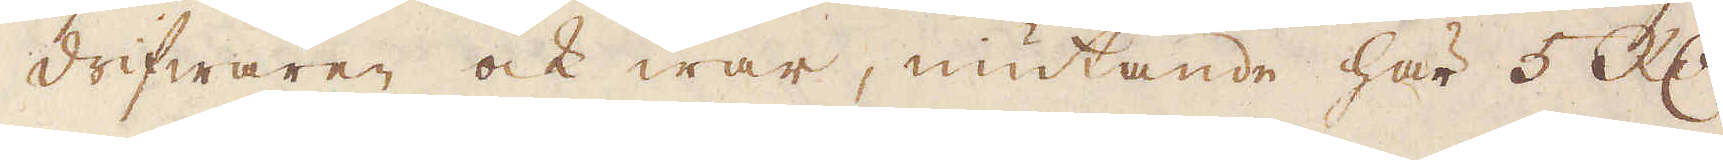drifwaren ock war, niutande här 5 R:dr
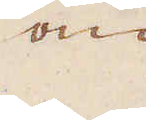om
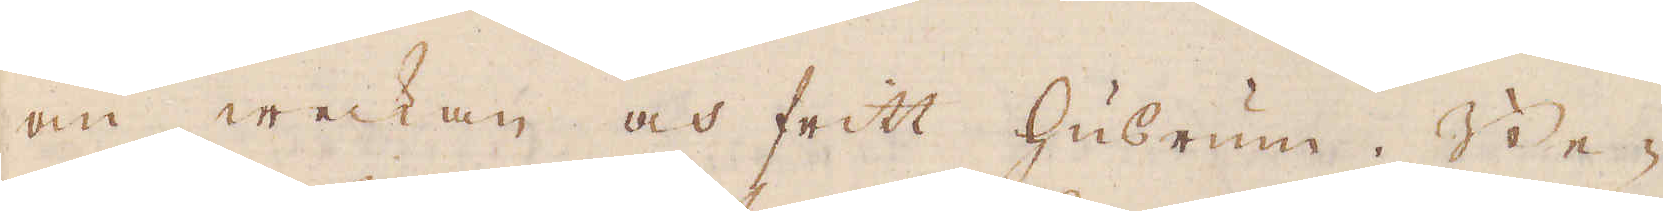om weckan och fritt husrum. Be-
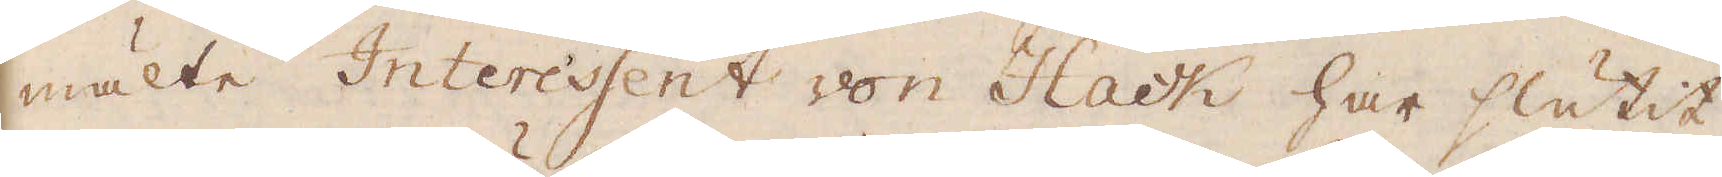mälte Interessent von Hack har slutit
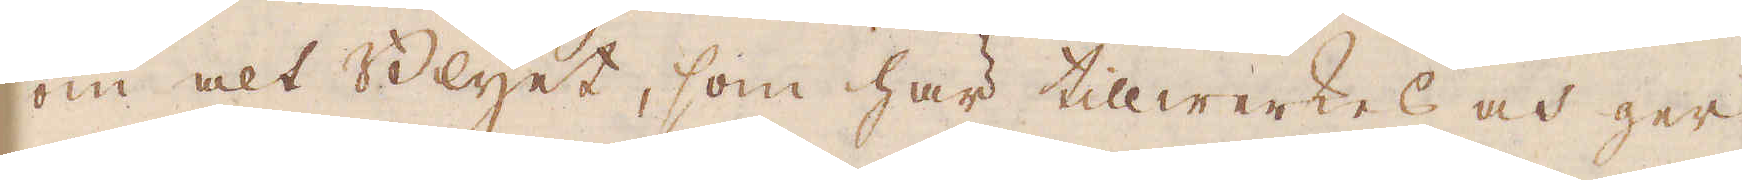om alt Blyet, som här tillwerkes och ger
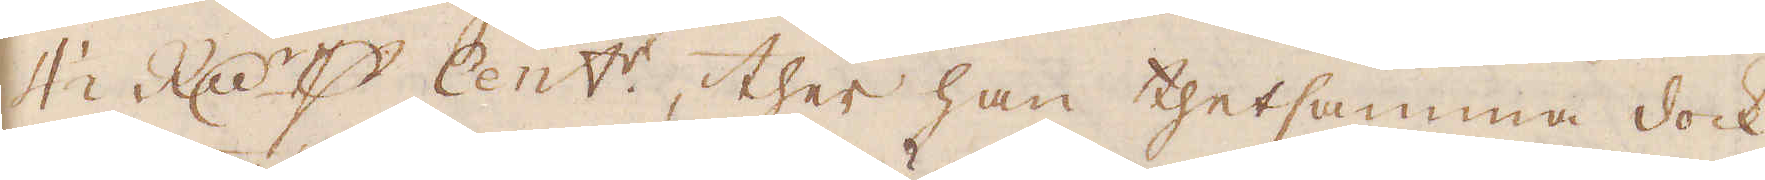4 1/2 R:dr p Cent:r, ther han thetsamma dock
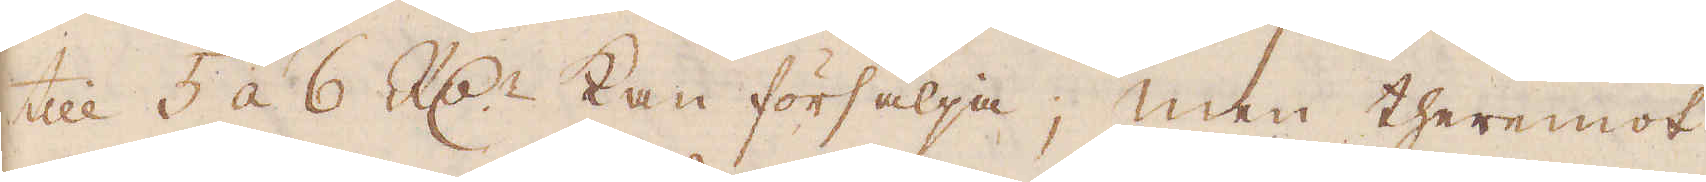till 5 à 6 R:dr kan försälja; men theremot
